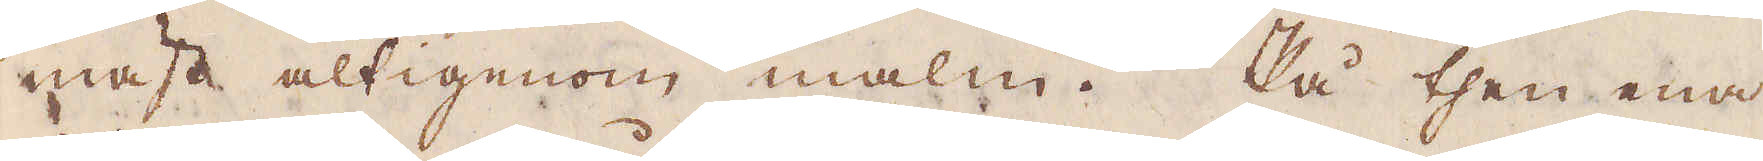mäst altigenom malm. På then ena
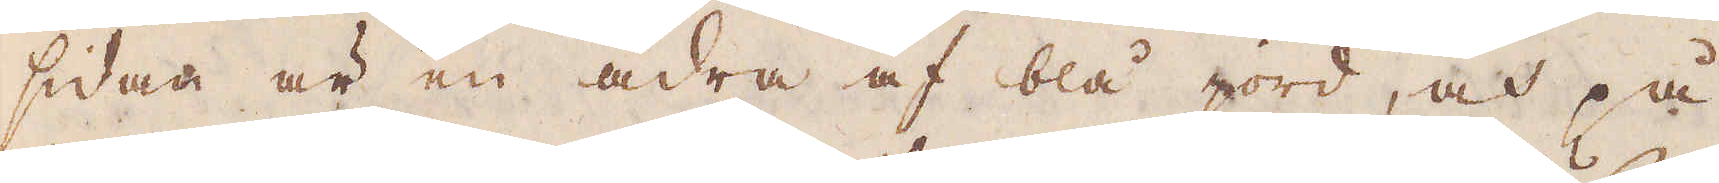sidan är en ådra af blå jord, och på
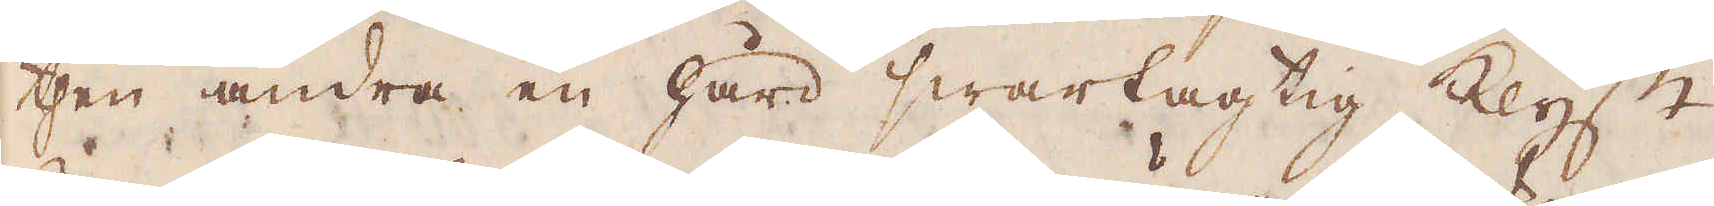then andra en hård swartagtig klyft.
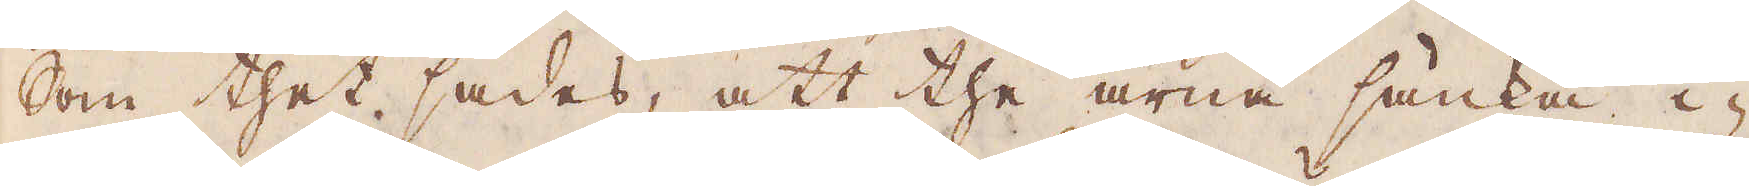Som thet sades, att the ärna sänka i-
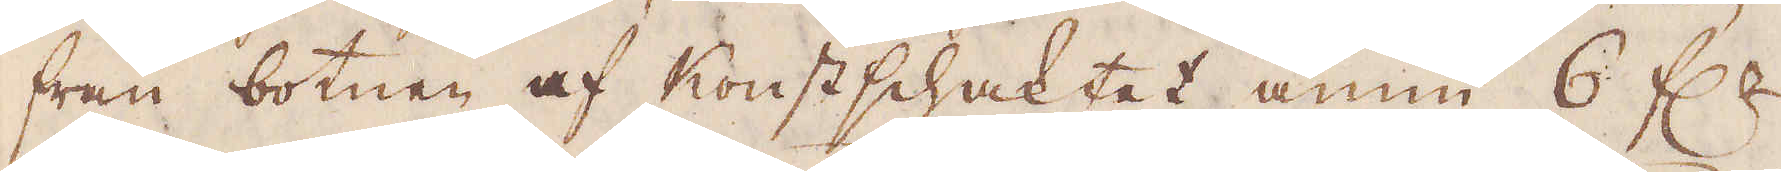från botnen af Konstschaktet ännu 6 f:r
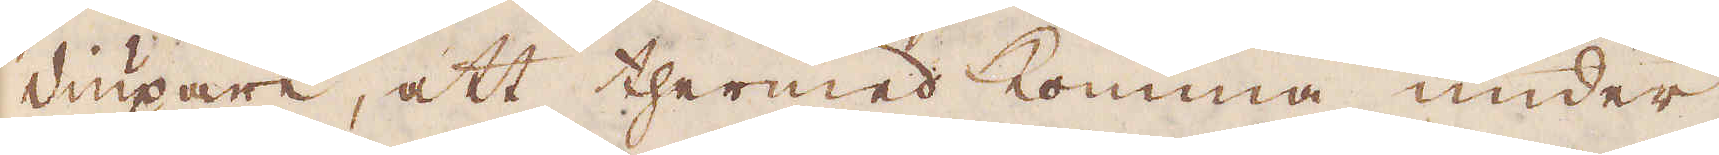diupare, att thermed komma under
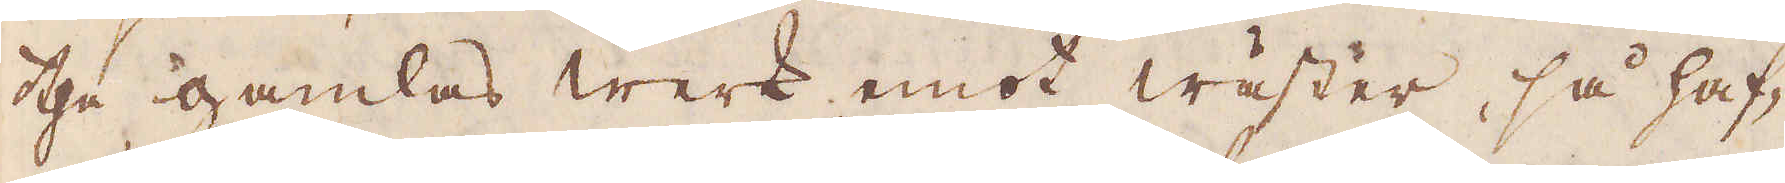the gamlas werk emot wäster, så haf-
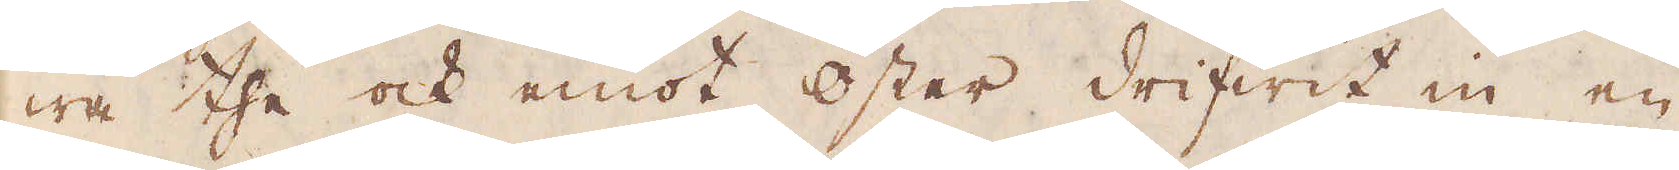wa the ock emot öster drifwit in en
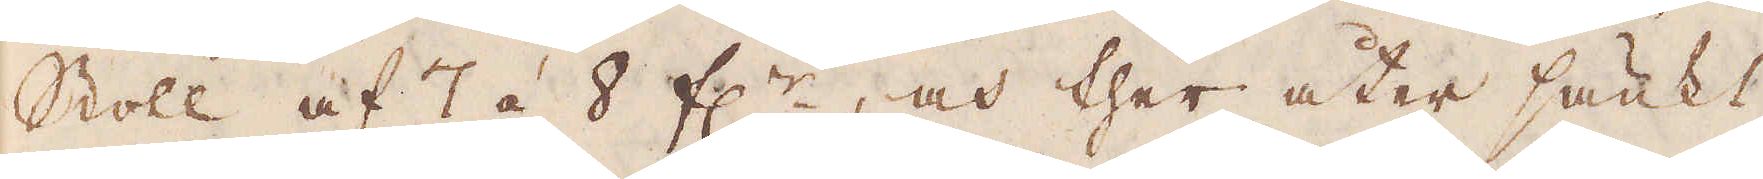Stoll af 7 á 8 f:r, och ther åter sänkt
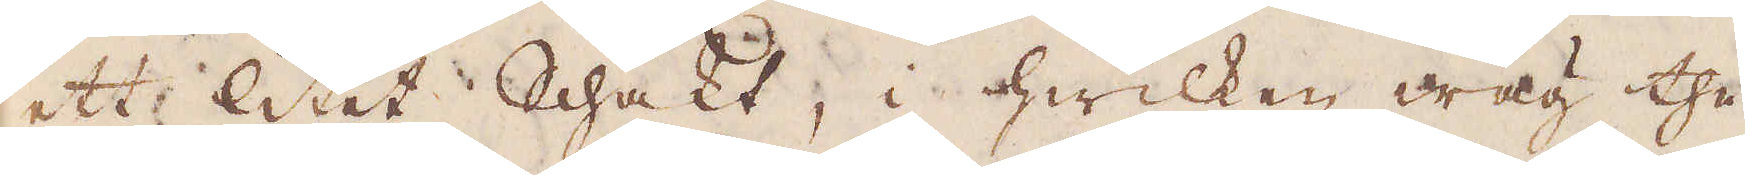ett litet Schakt, i hwilken wäg the
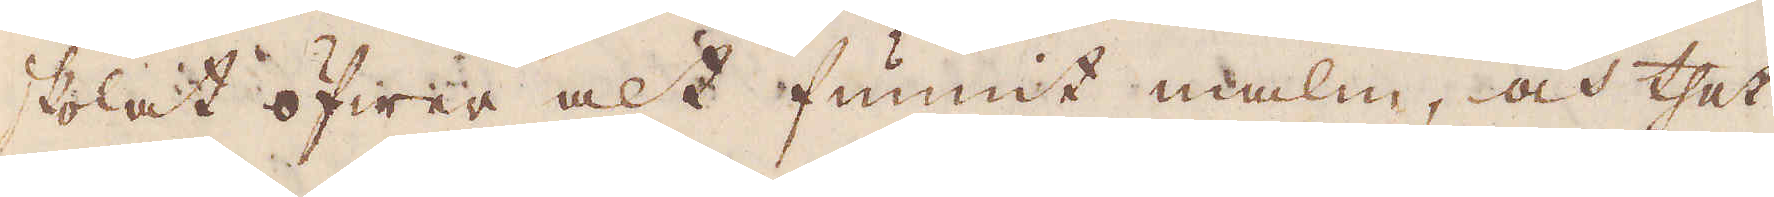skolat öfwer alt funnit malm, och thet
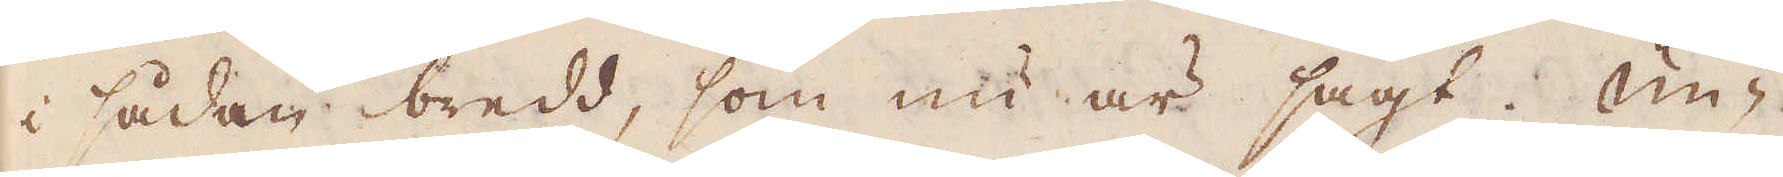i sådan bredd, som nu är sagt. Un-
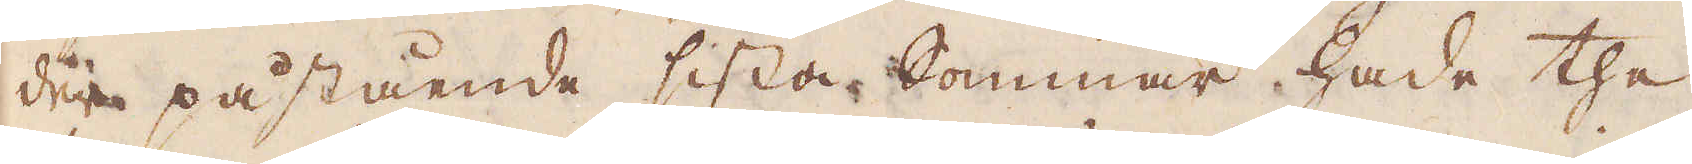der påstående sista kommar hade the
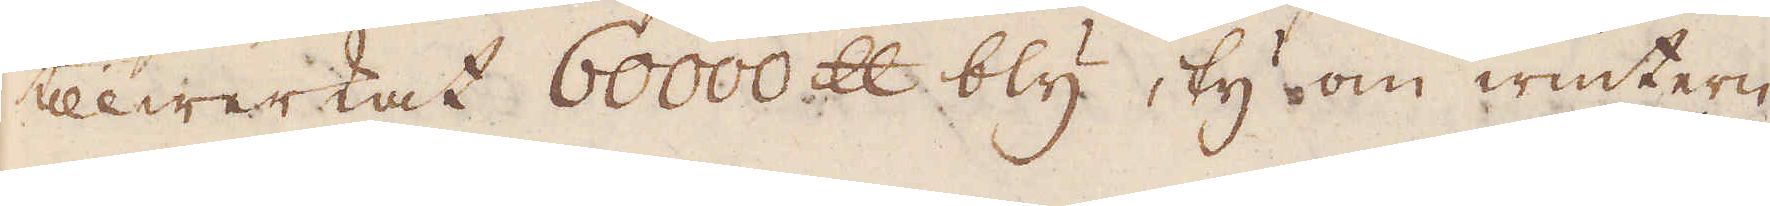tillwerkat 60000 skålpund bly, ty om wintern
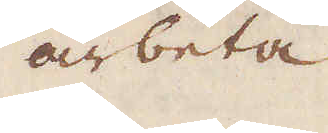arbeta
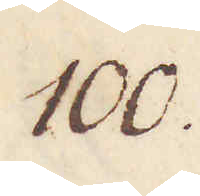100.
